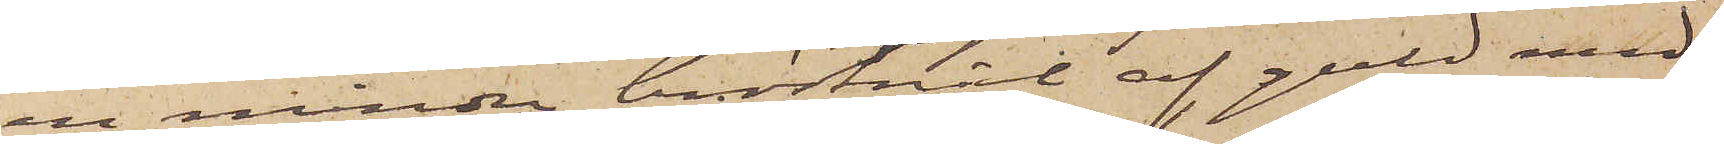en mindre bröstnål af guld med
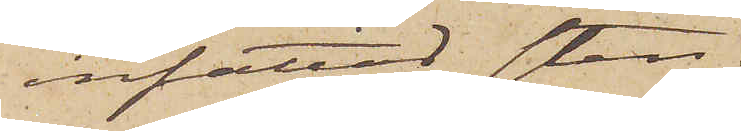infattad sten;
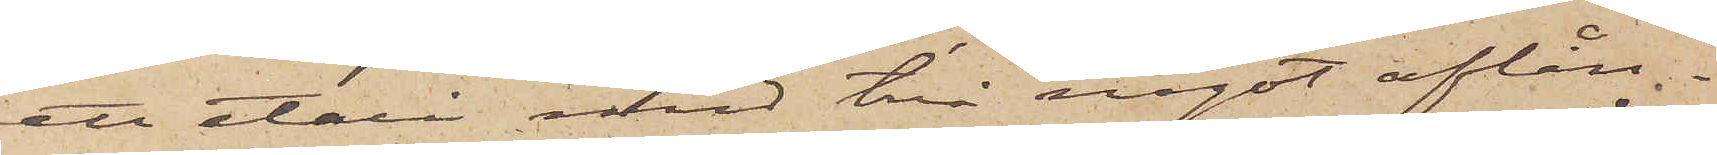ett etui med två något aflån¬
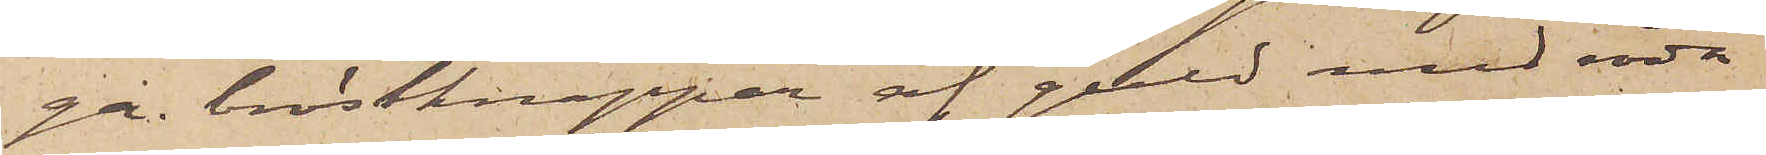ga bröstknappar af guld med röda
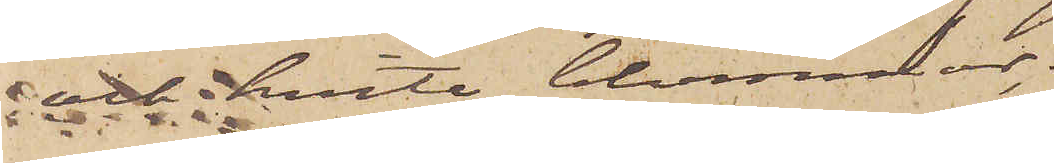och hvita blommor;
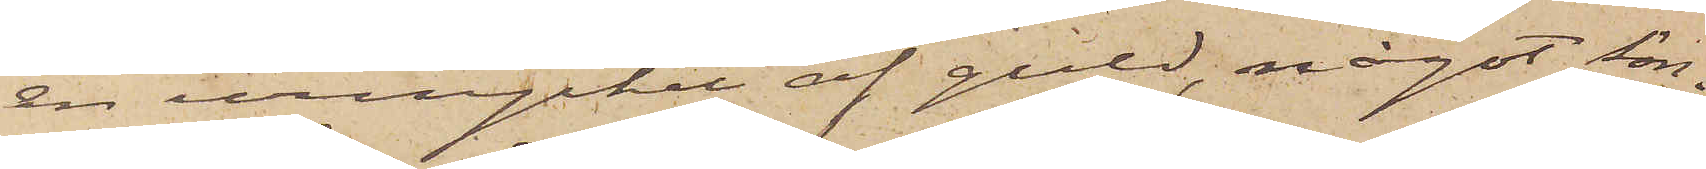en urnyckel af guld, något sön¬
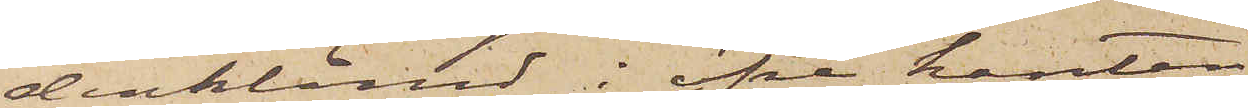derklämd i öfre kanten;
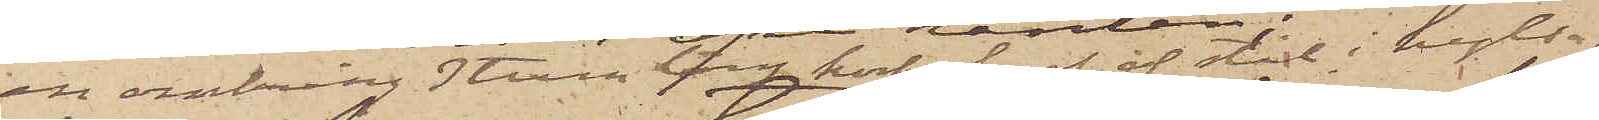en omkring 3 tum lång korkskruf af stål i hylsa,
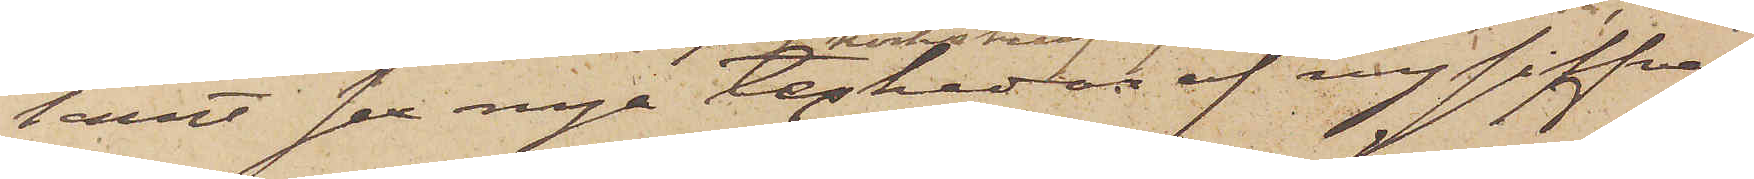samt sex nya teskedar af nysilfver.
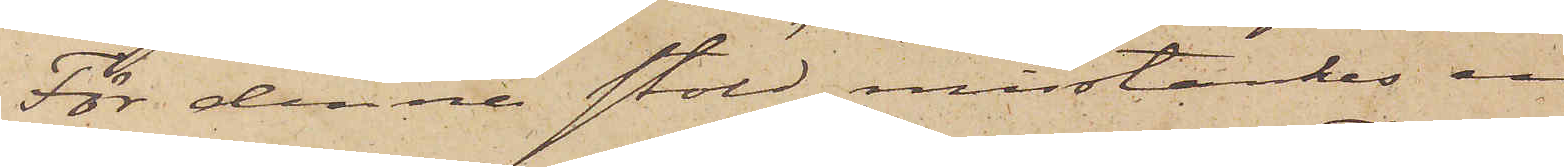För denna stöld misstänkes en
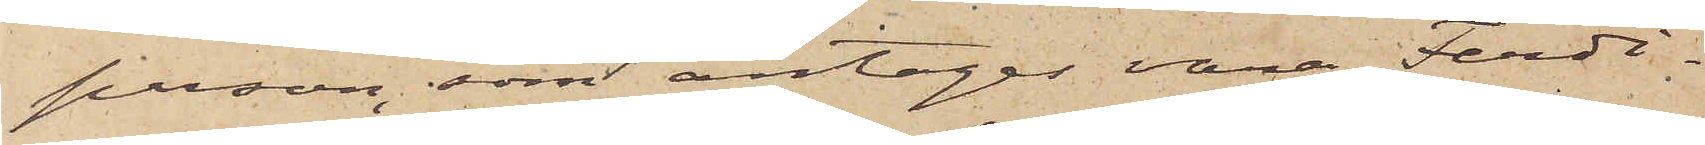person, som antagas vara Ferdi¬
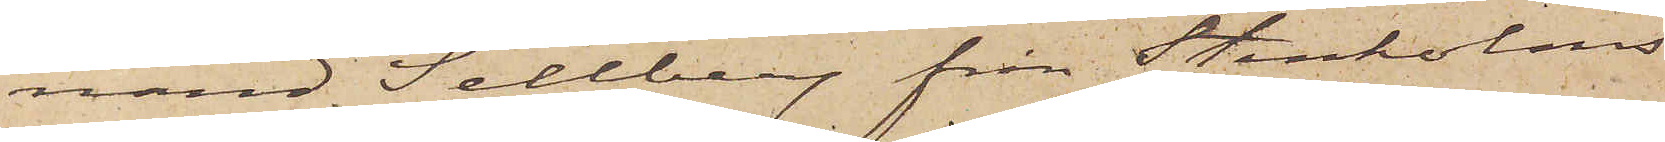nand Sellberg från Stenholms
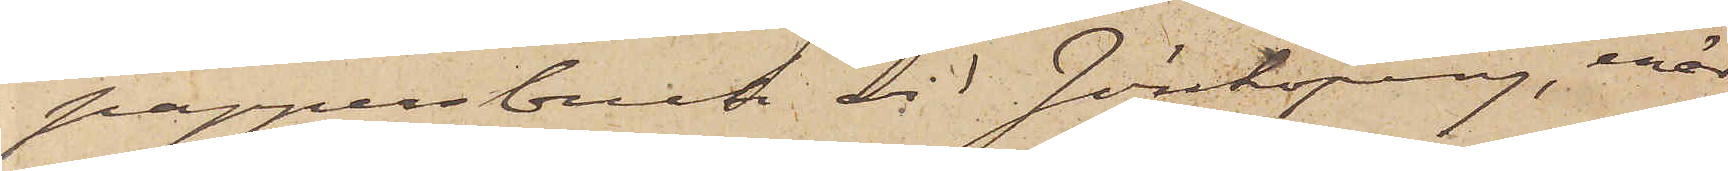papperbruk vid Jönköping, enär
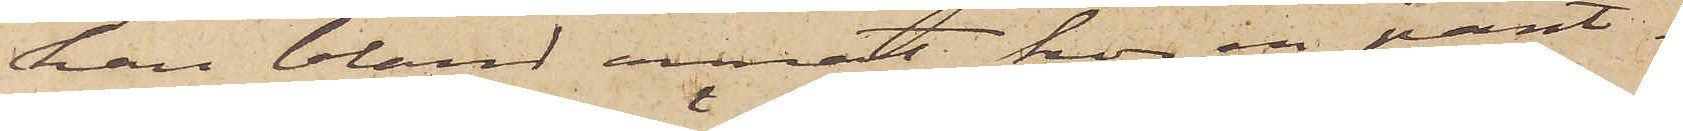han bland annat hos en pant¬
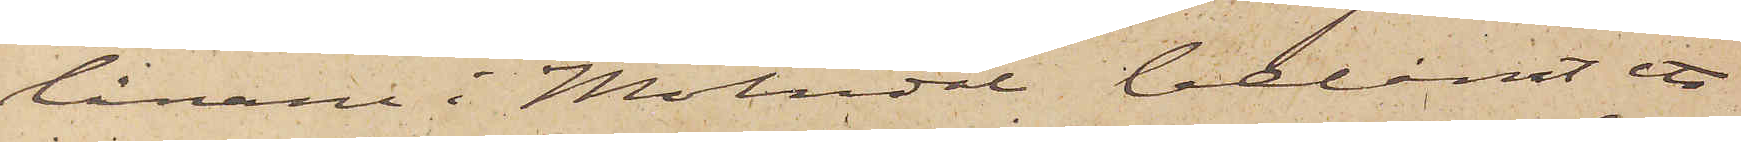lånare i Mölndal belånat ett
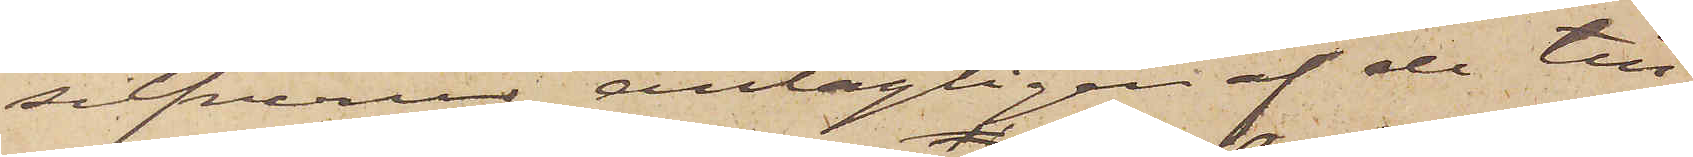silfverur, antagligen af de till¬
